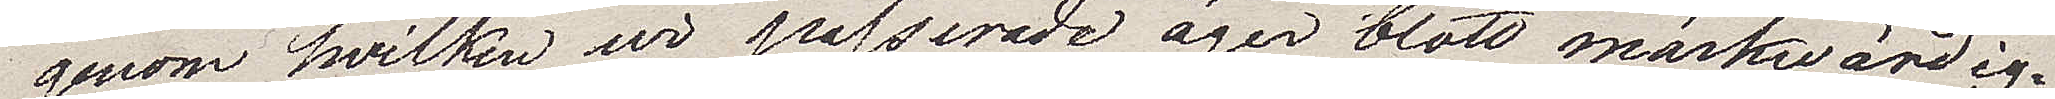genom vilken vi passerade äger blott märkwärdig¬
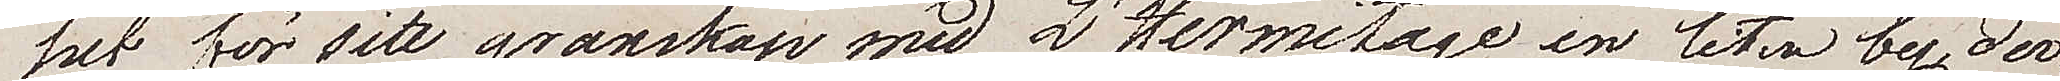het för sitt granskap med L´Hermitage en liten by, der¬
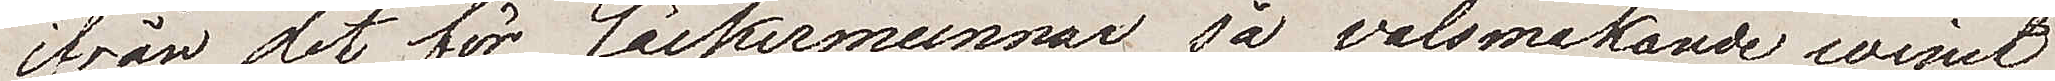ifrån det för läckermunnar så välsmakande winet
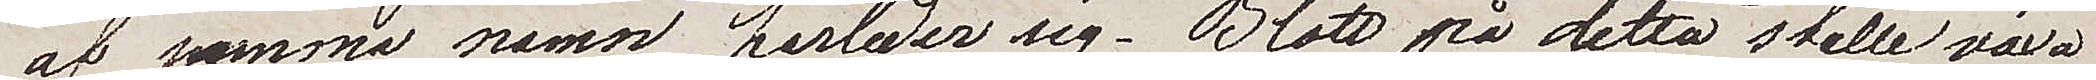af samma namn härleder sig. Blott på detta ställe växa
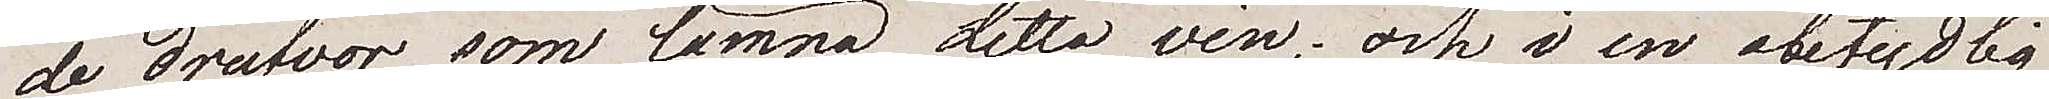de drufvor som lämna detta vin, och i en obetydlig
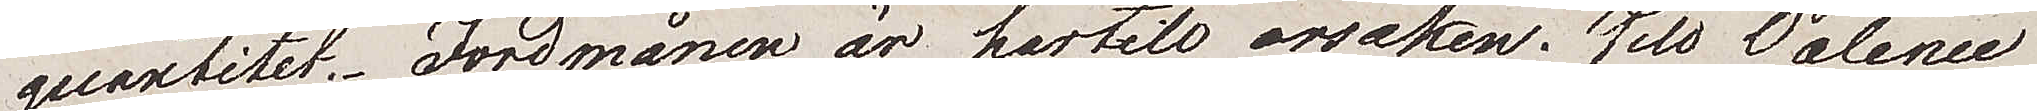quantitet. Jordmånen är härtill orsaken. Till Valence
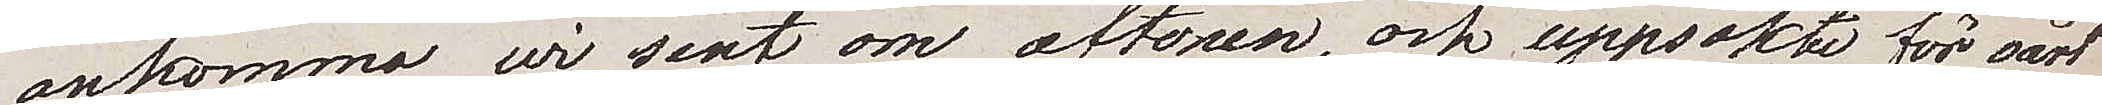ankommo vi sent om aftonen, och uppsökte för vårt
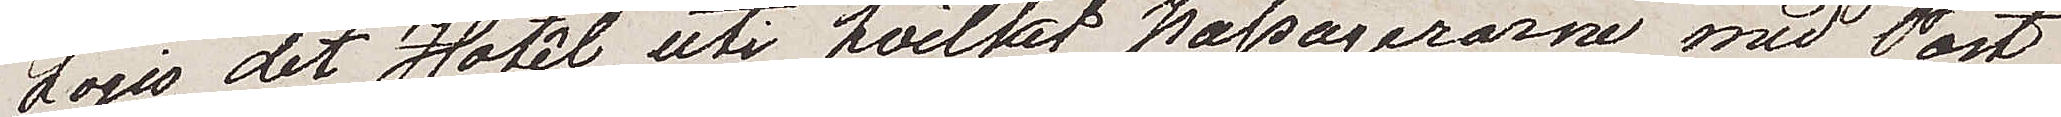Logis, det Hotêl uti hvilket passagerarna med Post¬
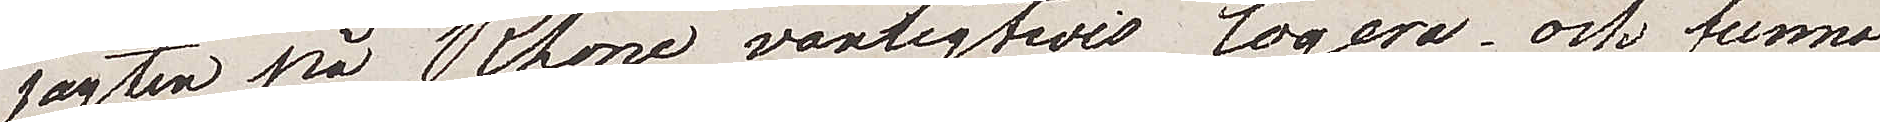jagten på Rhone, vanligtvis logerar och funno
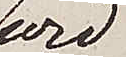vid
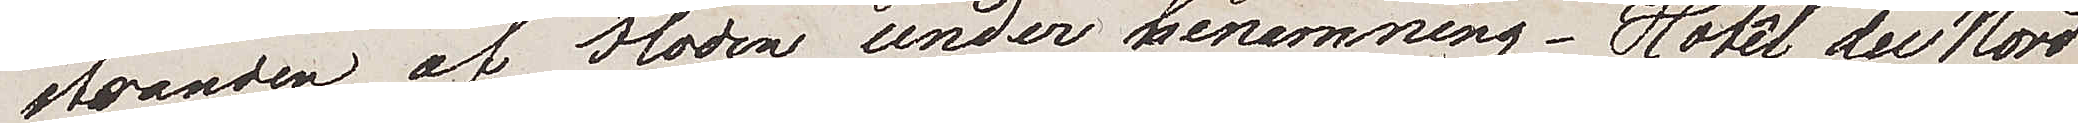stranden af floden under benemning – Hotêl du Nord
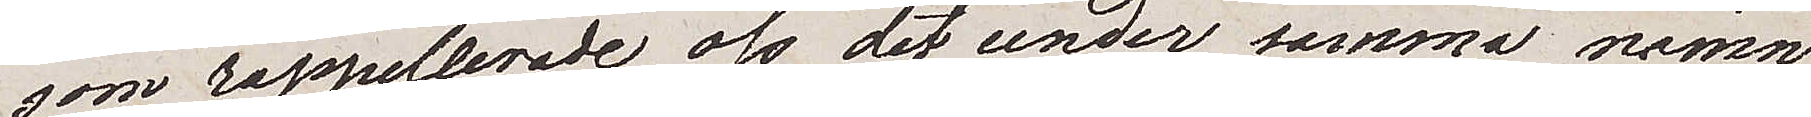som rappellerade oss det under samma namn
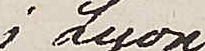i Lyon
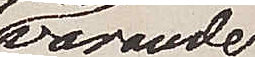varande
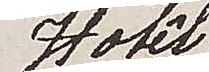Hotêl.
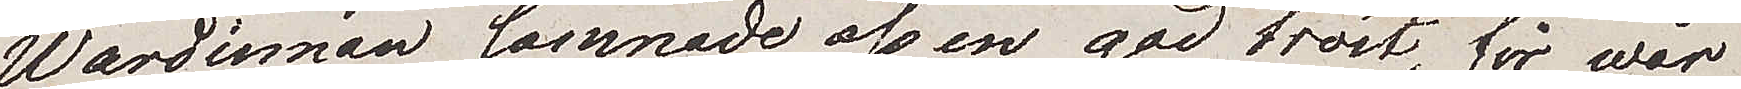Wärdinnan lämnade oss en god tröst, för wår
